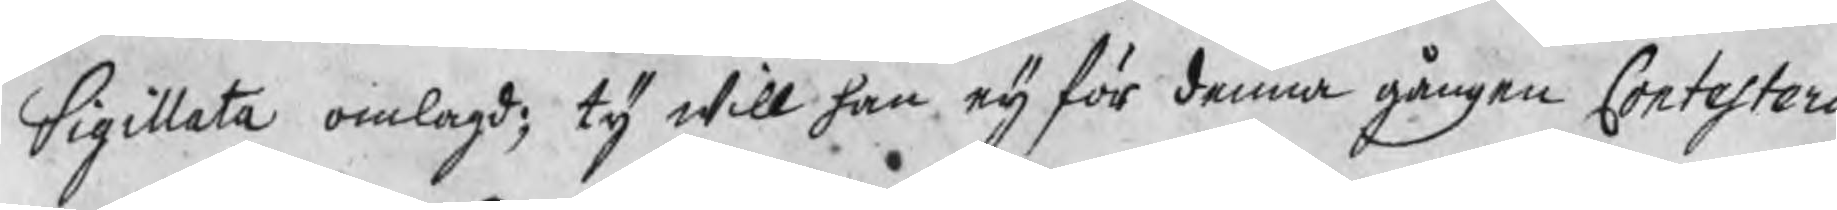Sigillata omlagd; ty will han eij för denna gången Contestera
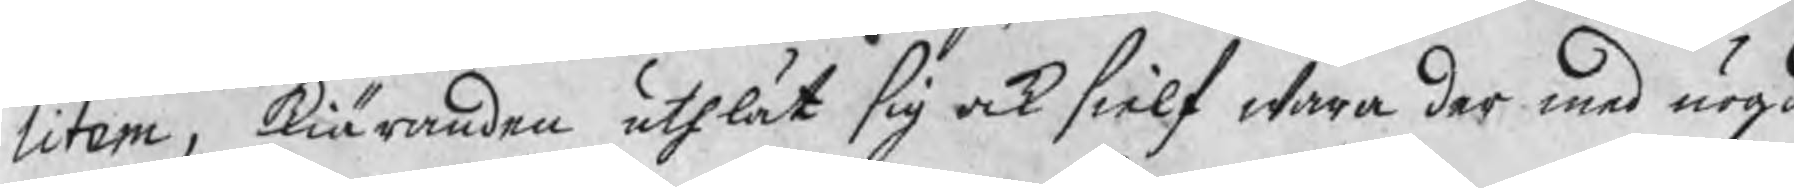litem, kiäranden uthlät sig ock sielf wara der med nögd
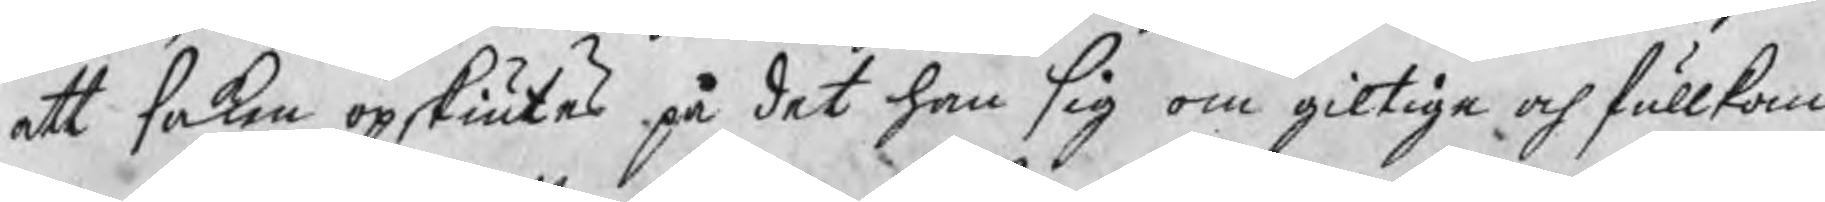att saken opskiutes på det han sig om giltige och fullkom¬
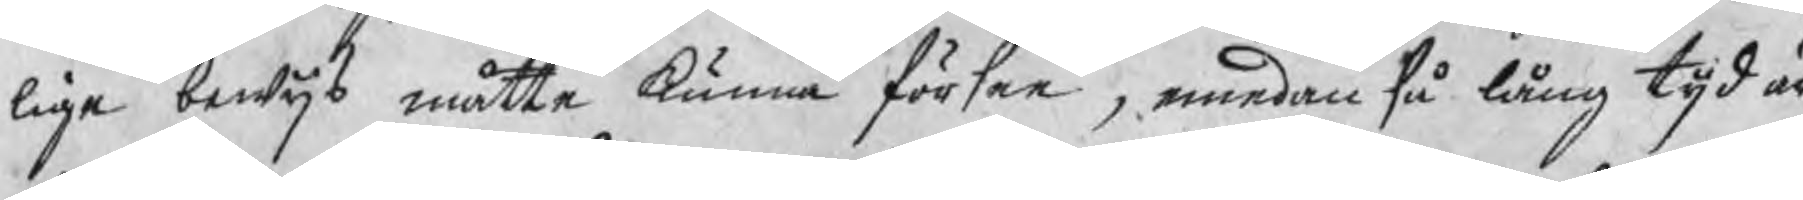lige bewijs måtte kunna försee, emedan så lång tijd är
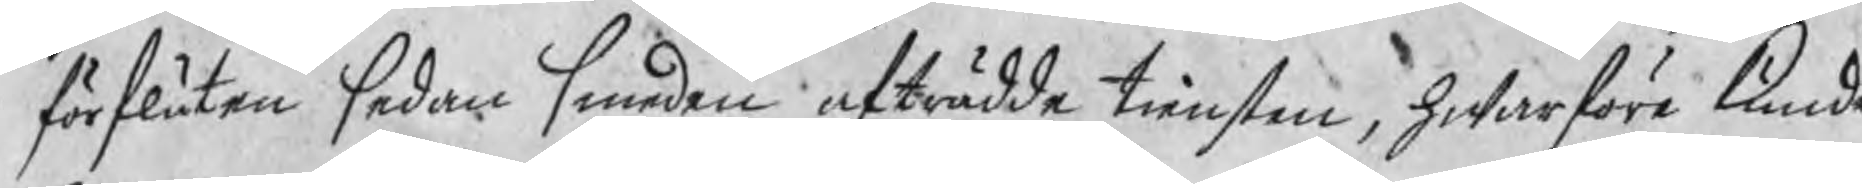förfluten sedan smeden afträdde tiensten, hwarföre kunde
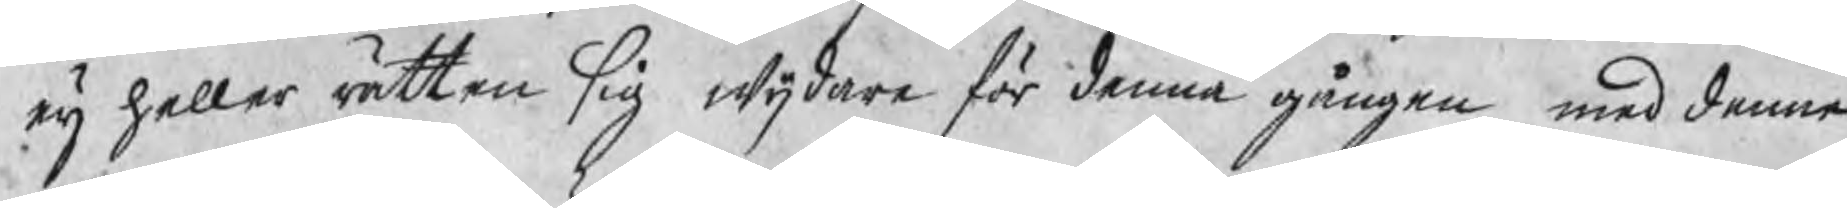eij heller rätten sig wijdare för denna gången med denna
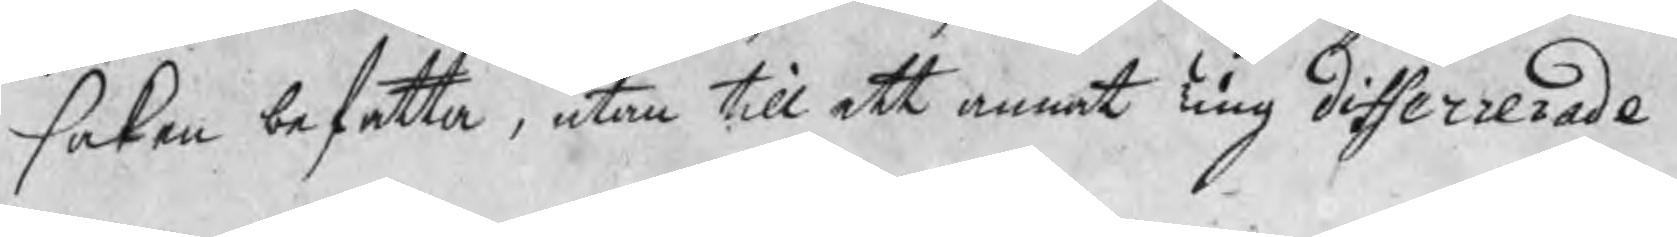saken befatta, utan till ett annat Ting differrerade.
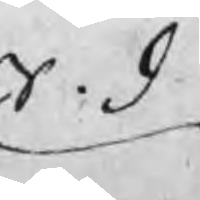S. d
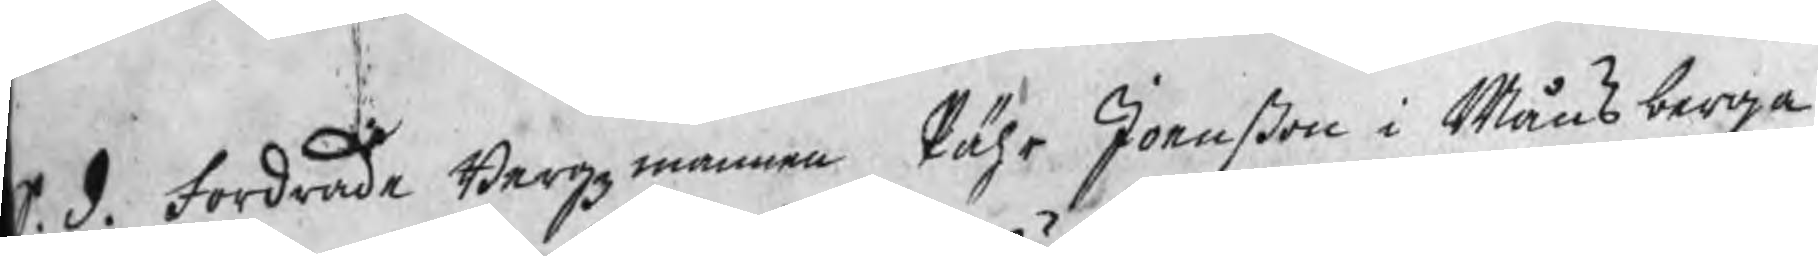S. d. Fordrade Bergzmannen Pähr Joenßon i Månsberga
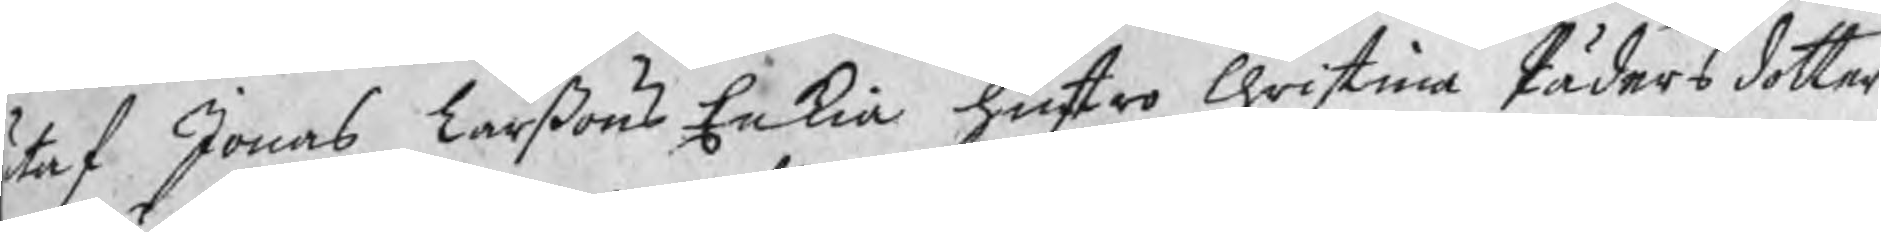taf Jonas Larßons Enkia hustru Christina Pädersdotter
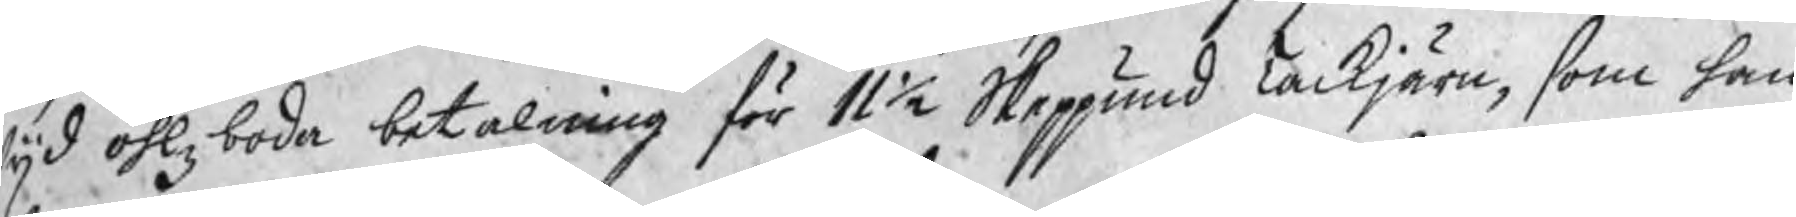wijd Öhlzboda betalning för 11½ Skeppund Tackjärn, som han
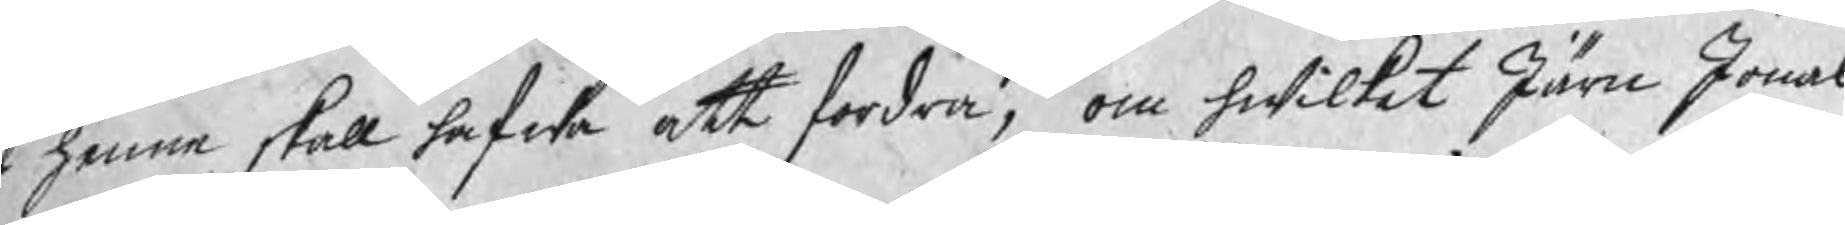f henne skall hafwa att fordra, om hwilket Järn Jonas
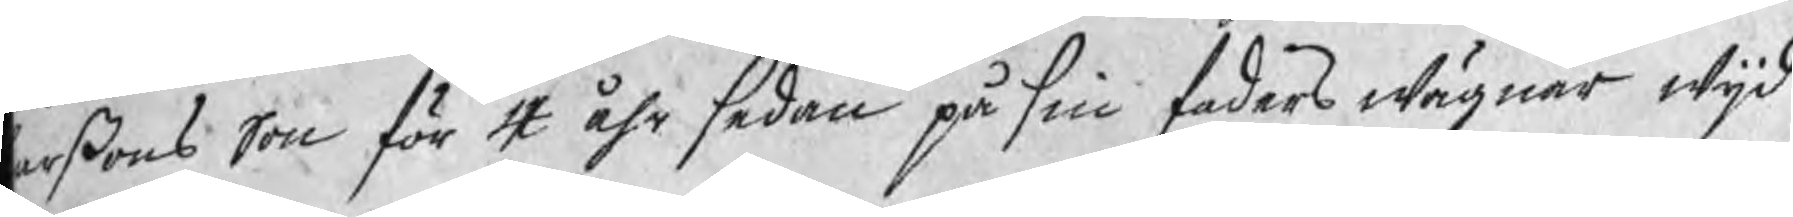arßons Son för 4 åhr sedan på sin faders wägnar wijd
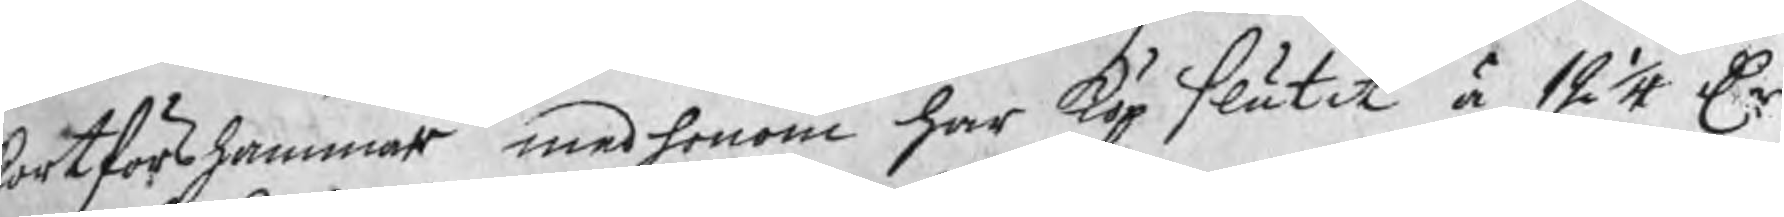kortforshammar med honom har köp slutit à 12 1/4 Dr
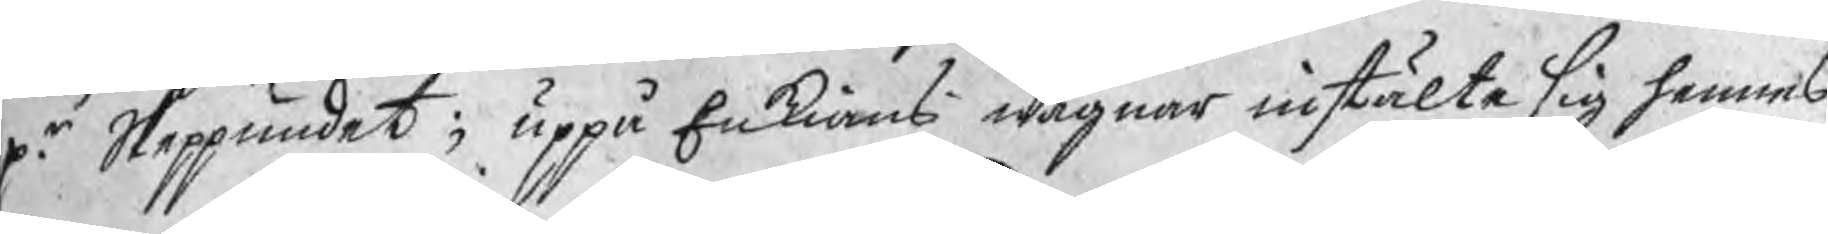pr. Skeppundet; uppå Enkians wägnar instälte sig hennes
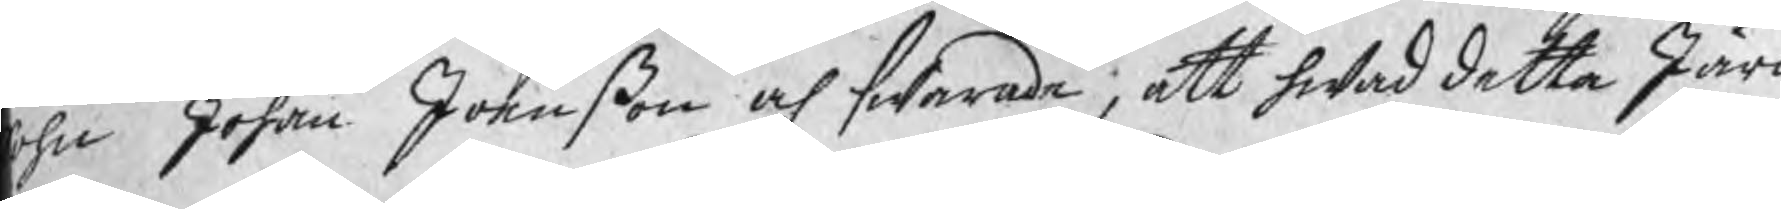ohn Johan Joenßon och swarade, att hwad detta Järn
